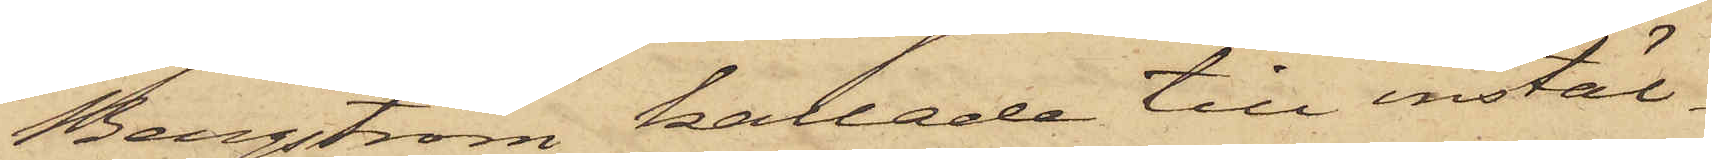Bergström kallade till instäl¬
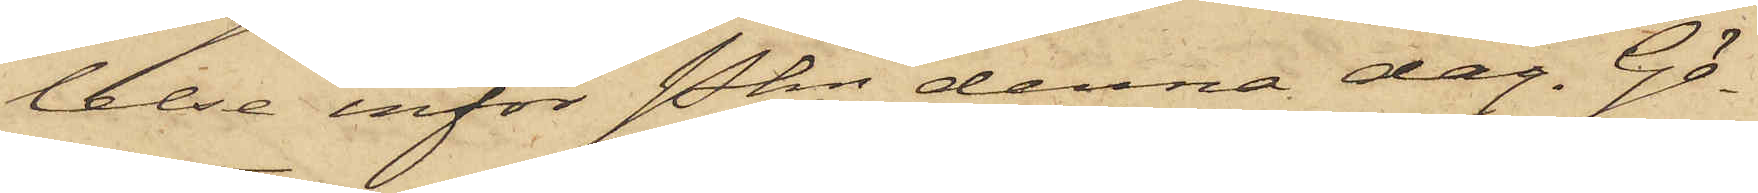lelse inför Pkn denna dag. Gö¬
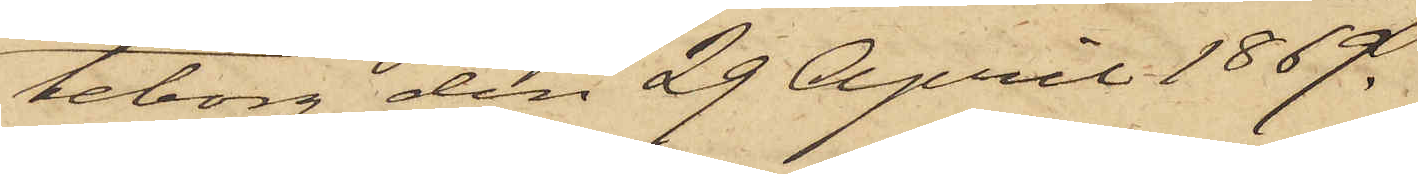teborg den 29 April 1869.
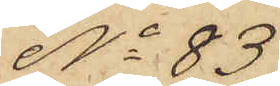No 83
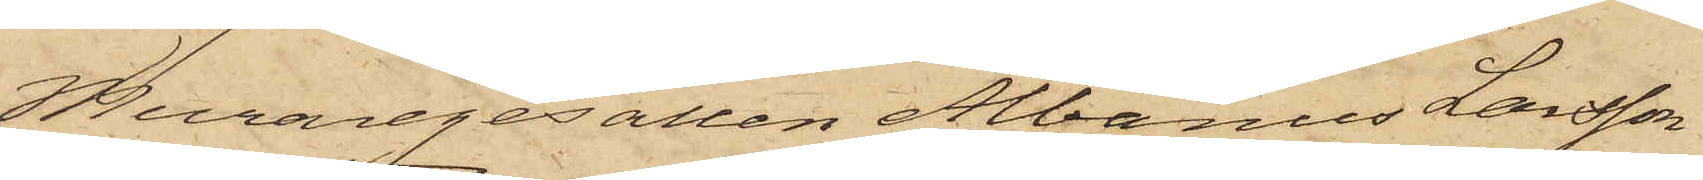Muraregesällen Albanus Larsson
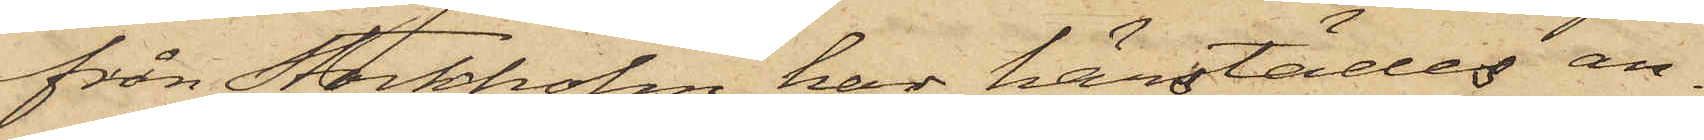från Stockholm har härstädes an¬
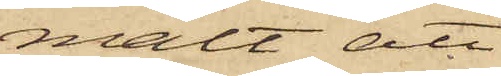mält att
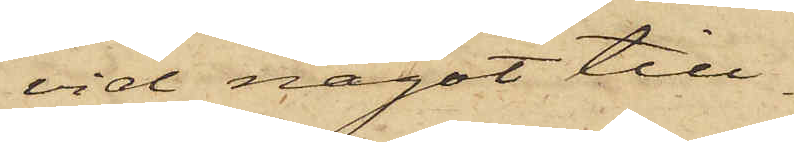vid något till¬
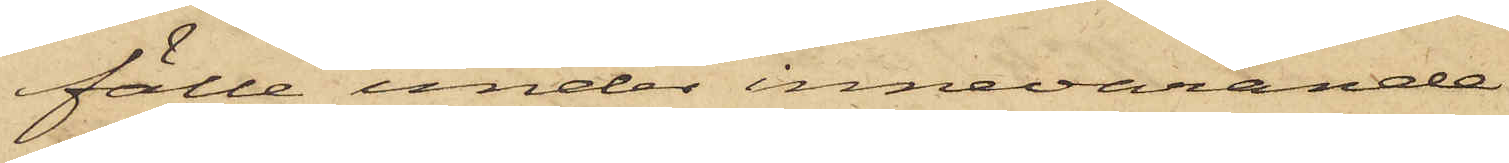fälle under innevarande
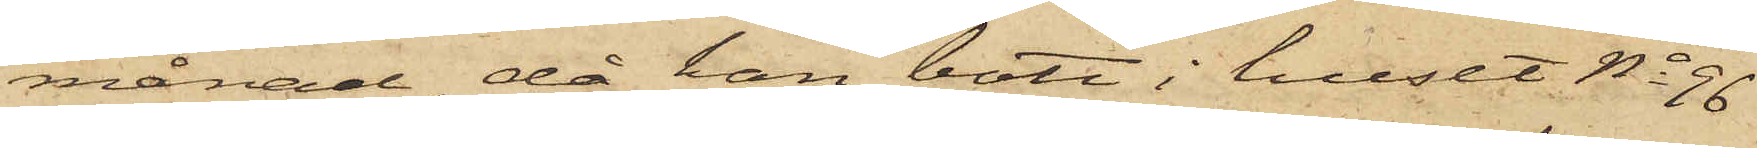månad, då han bott i huset No 96
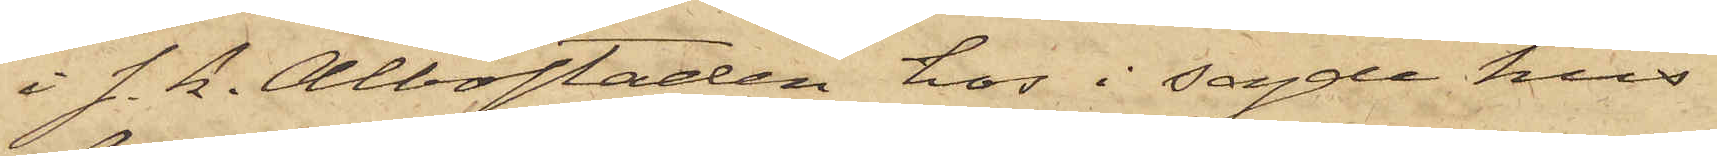i s. k. Albostaden hos i sagde hus
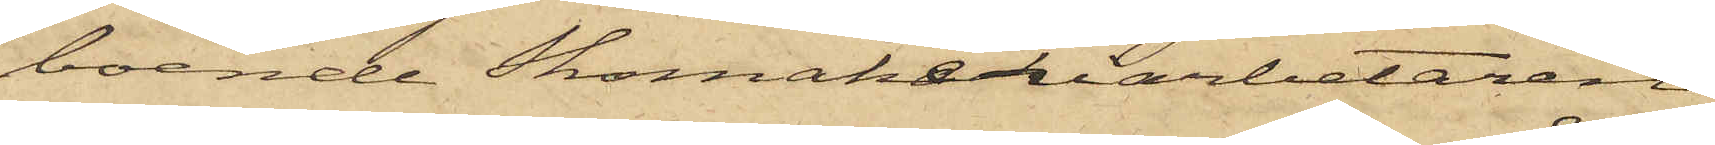boende Skomakeriarbetaren
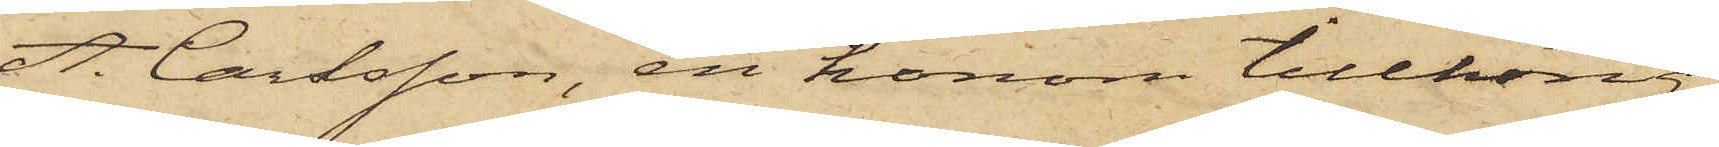A. Carlsson, en honom tillhörig
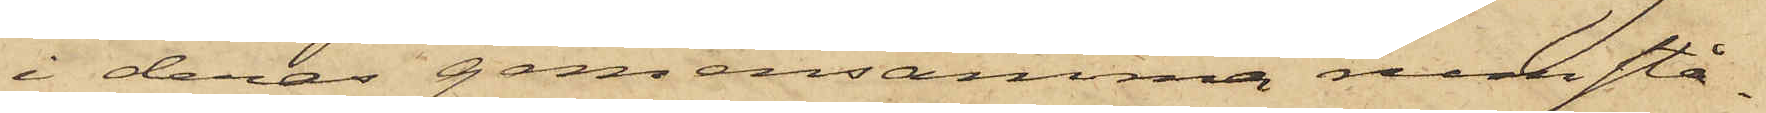i deras gemensamma rum stå¬
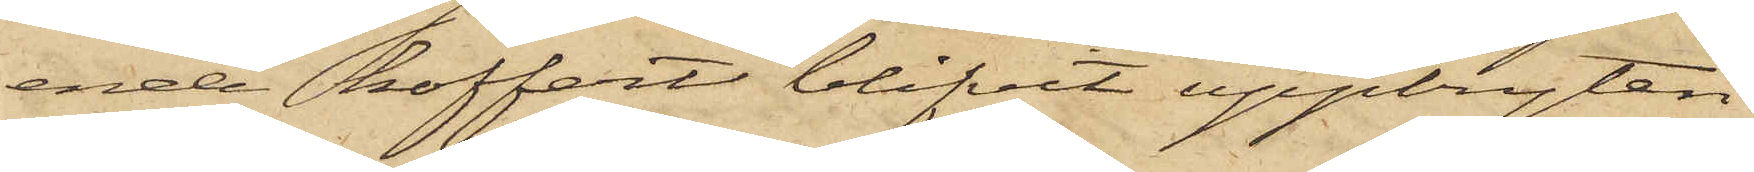ende koffert blifvit uppbryten
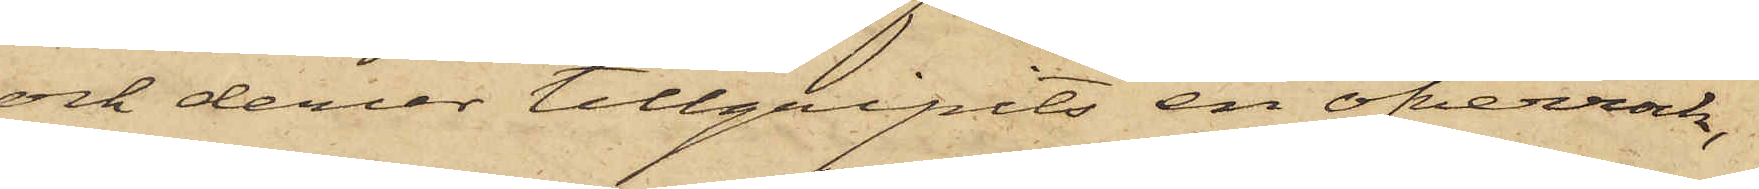och derur tillgripits en öfverrock,
